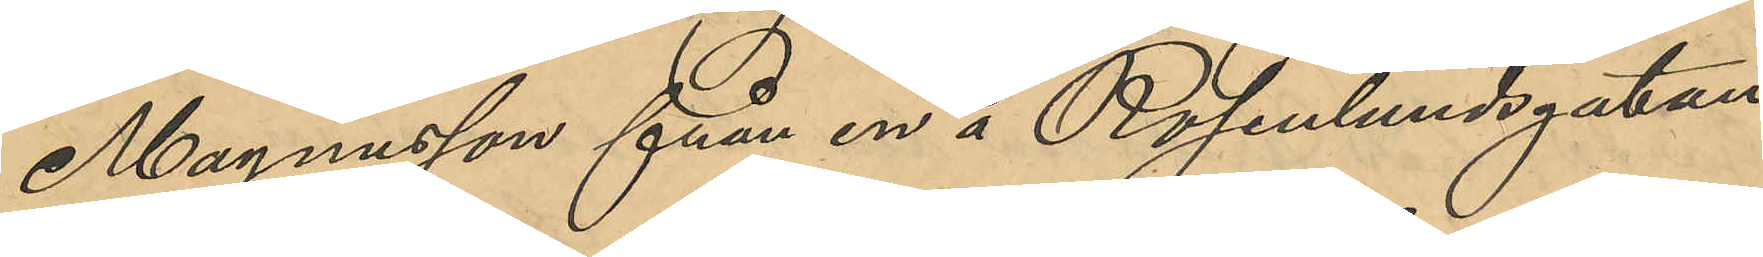Magnusson från en i Rosenlundsgatan
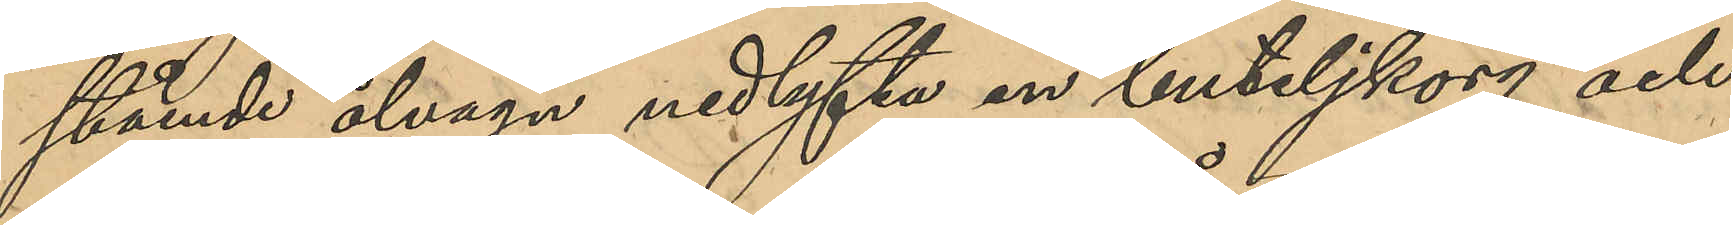stående ölvagn nedlyfta en buteljkorg och
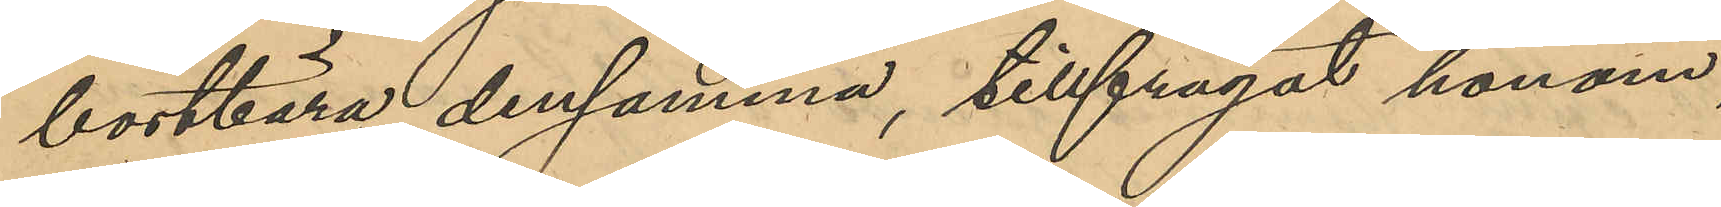bortbära densamma, tillfrågat honom,
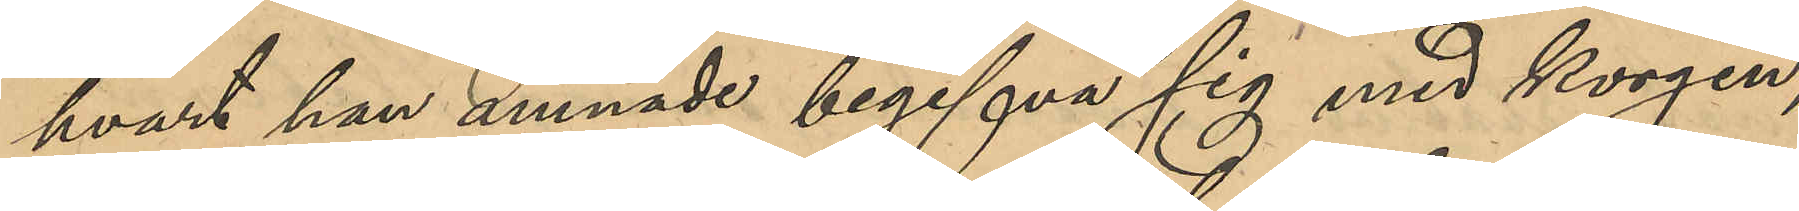hvart han ämnade begifva sig med korgen; 
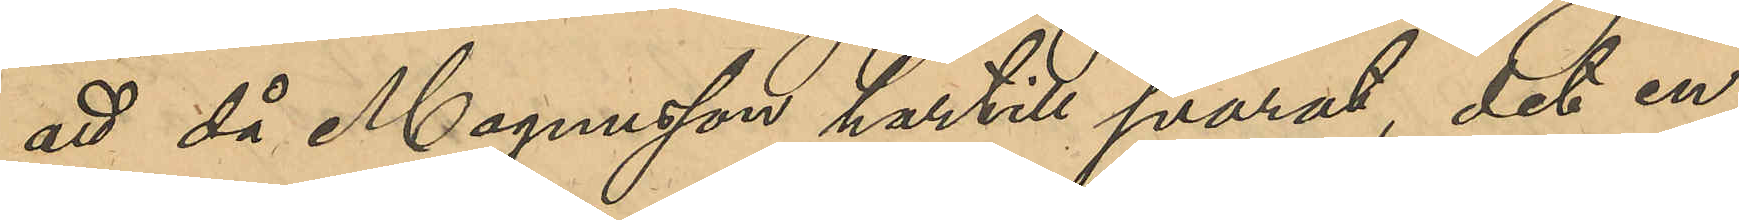att då Magnusson hartill svarat, det en
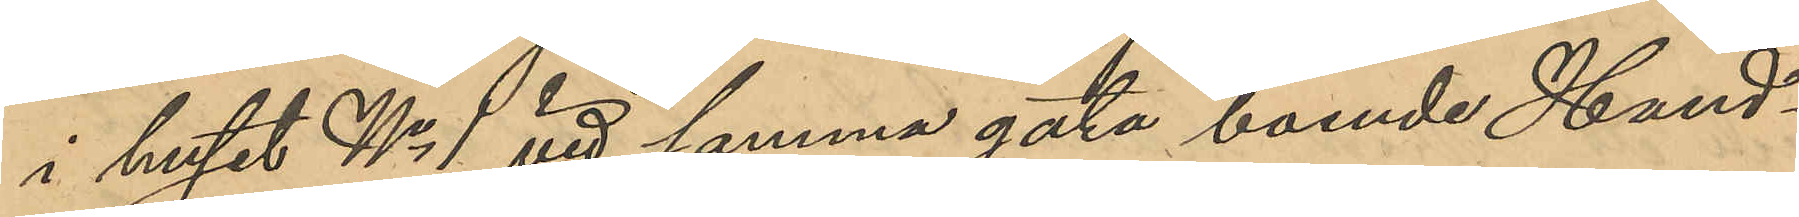i huset No 1 vid samma gata boende Hand¬
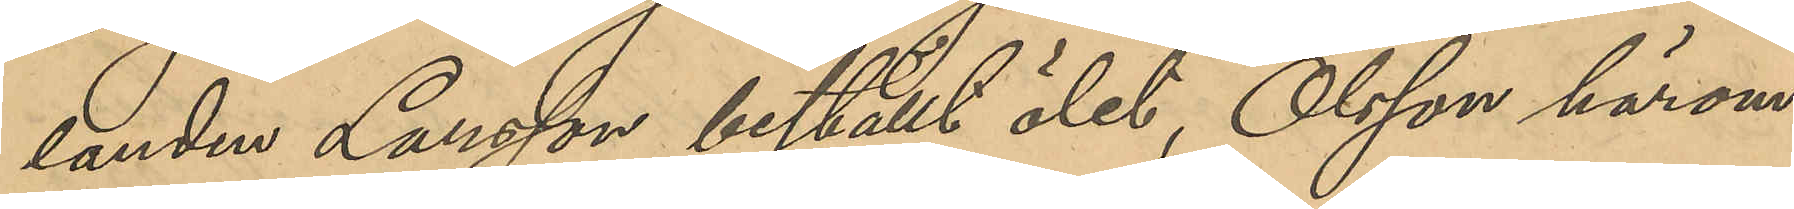landen Larsson beställt ölet, Olsson härom
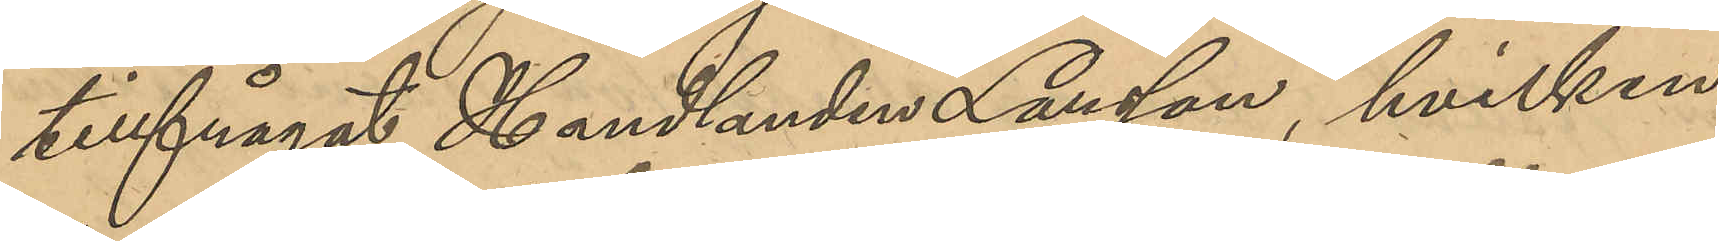tillfrågat Handlanden Larsson, hvilken
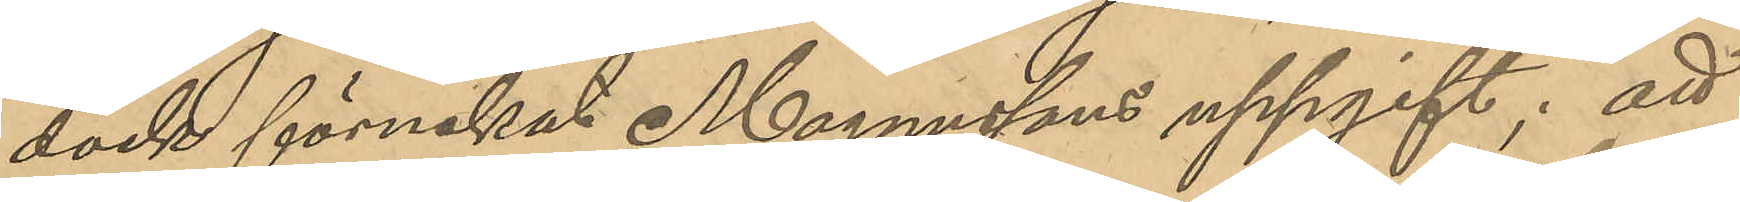dock förnekat Magnussons uppgift; att
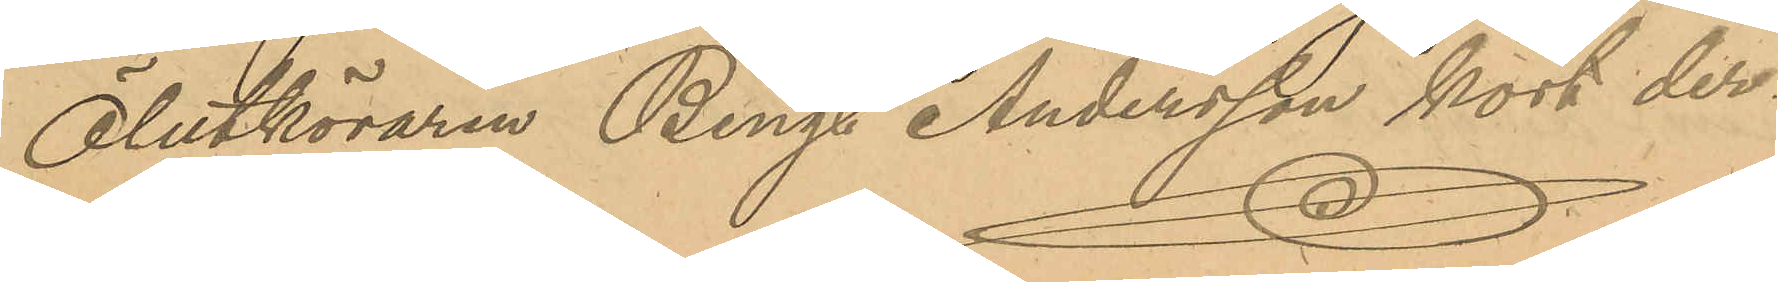Ölutköraren Bengt Andersson kort der¬
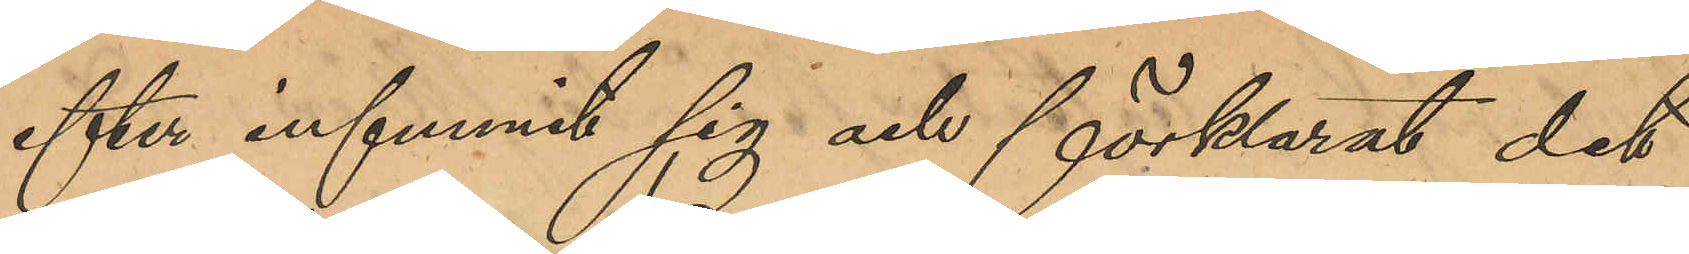efter infunnit sig och förklarat det
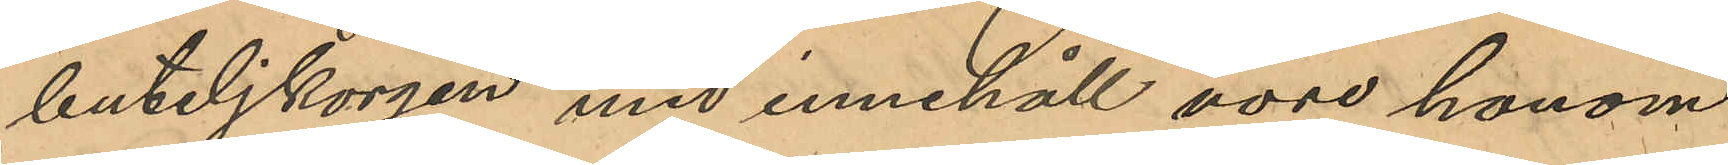buteljkorgen med innehåll vore honom
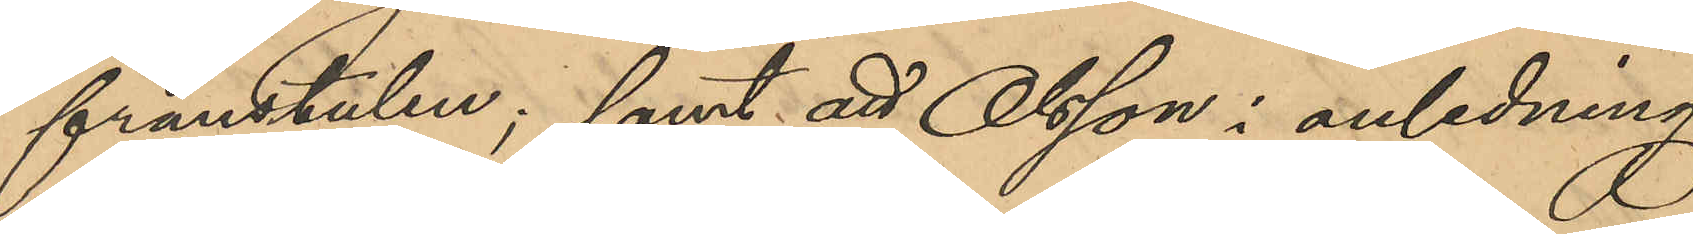frånstulen; samt att Olsson i anledning
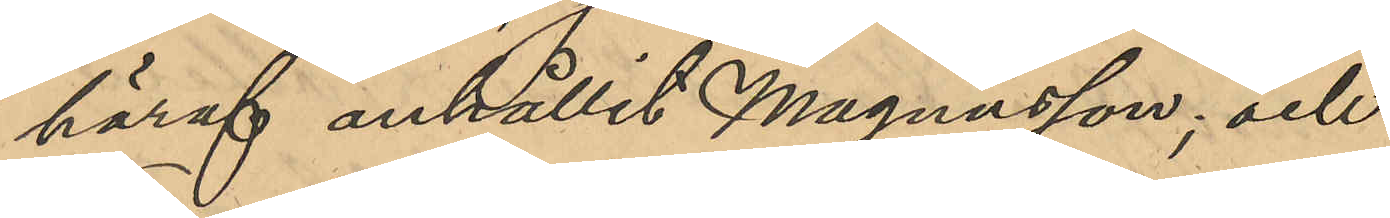häraf anhållit Magnusson; och
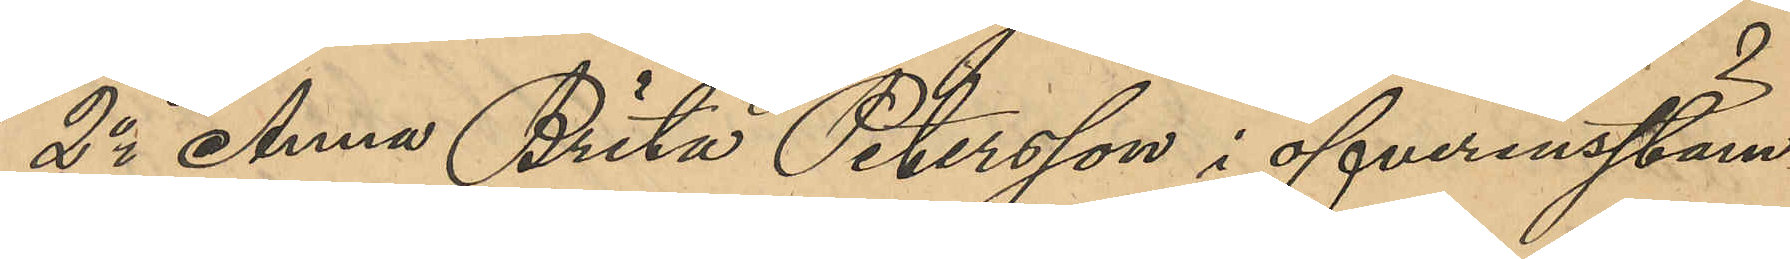2o Anna Brita Petersson i öfverensstäm¬
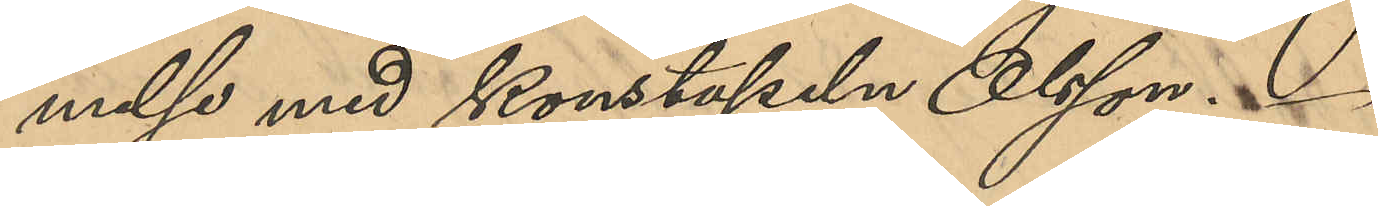else med konstapeln Olsson.
